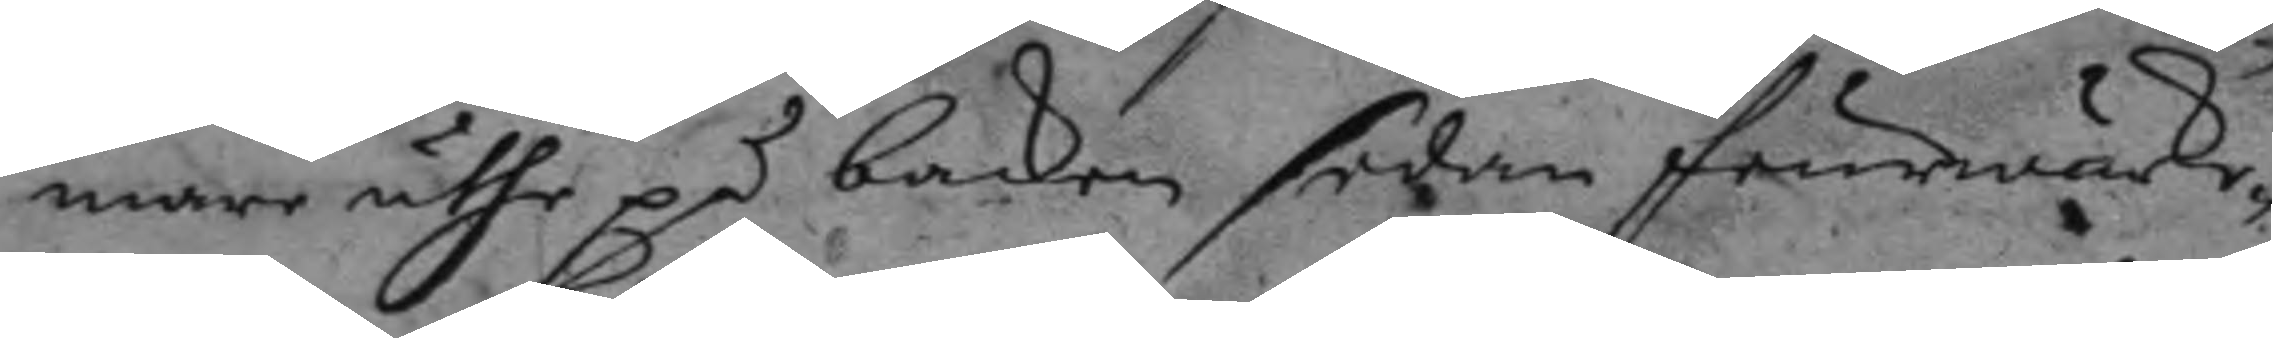mare ähre på backen sedan feurwärke¬
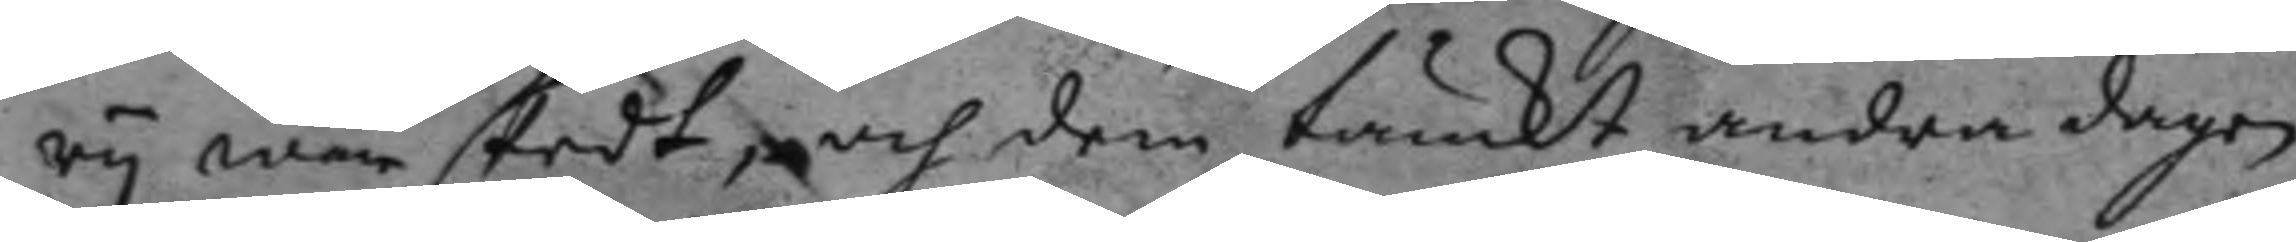ry war skedt, och dem tänkt andra dagen
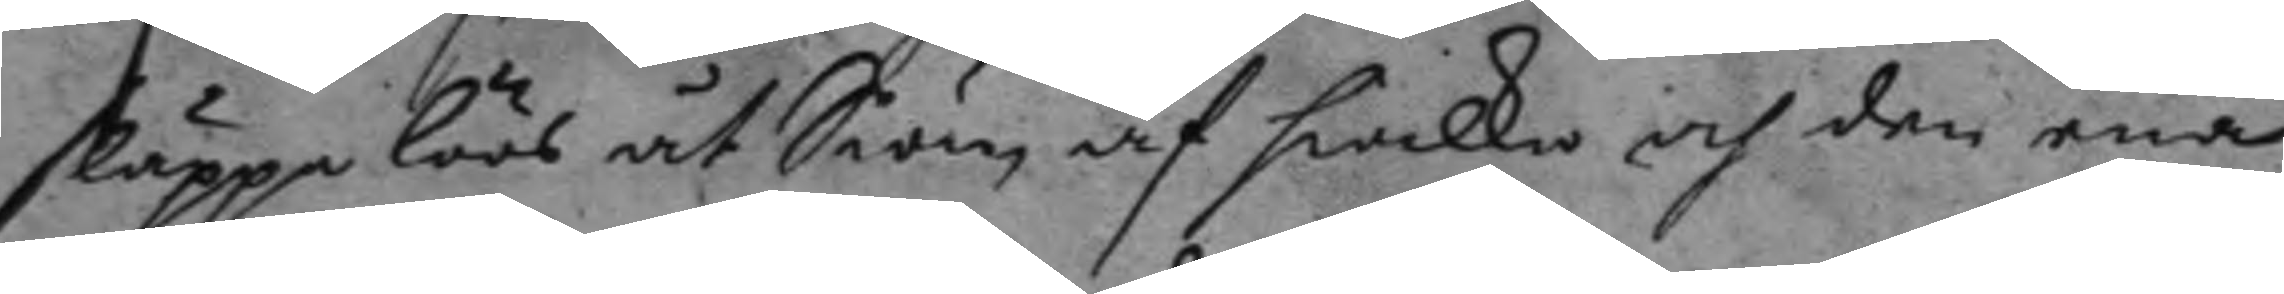släppa löös åt Siön, och hwilka och den ena
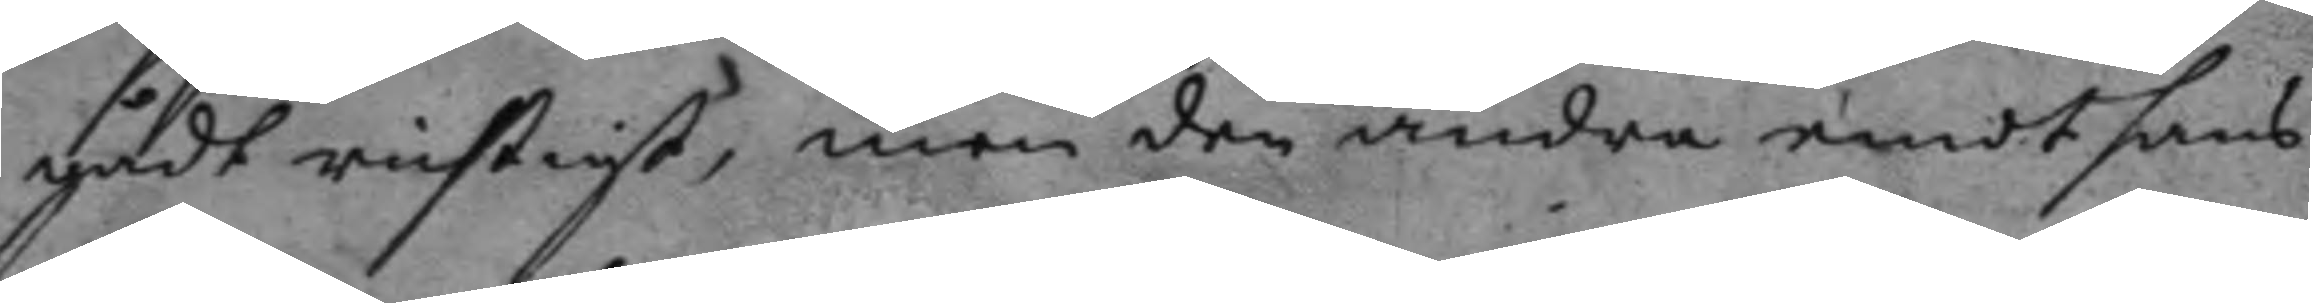gådt richtigt, men den andra emodt hans
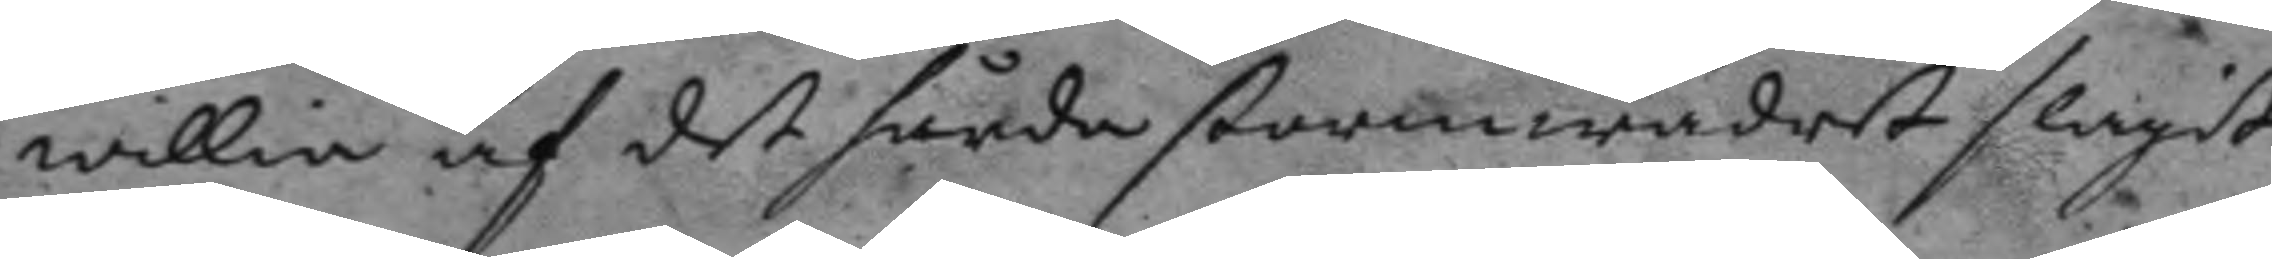willia af det hårda stormwädret slagit
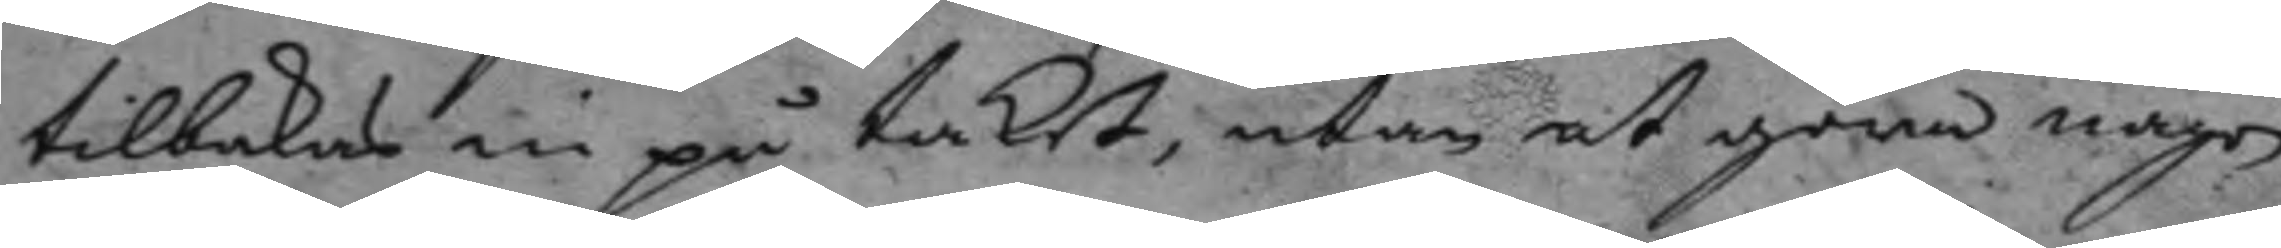tilbakas in på taket, utan at göra någon
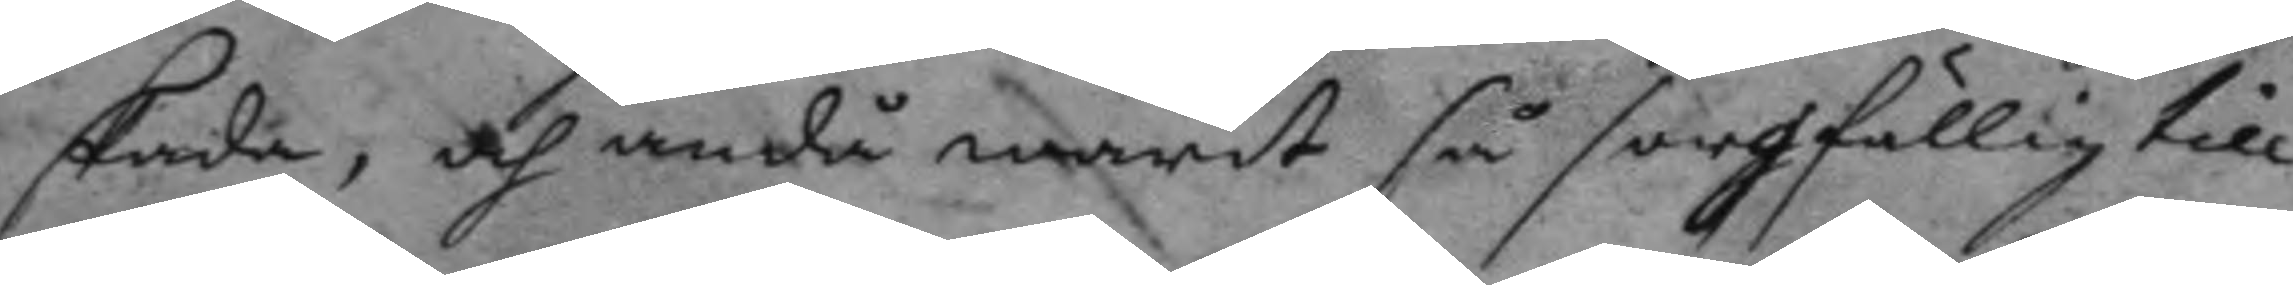skada, och ndå warit så sorgfällig till
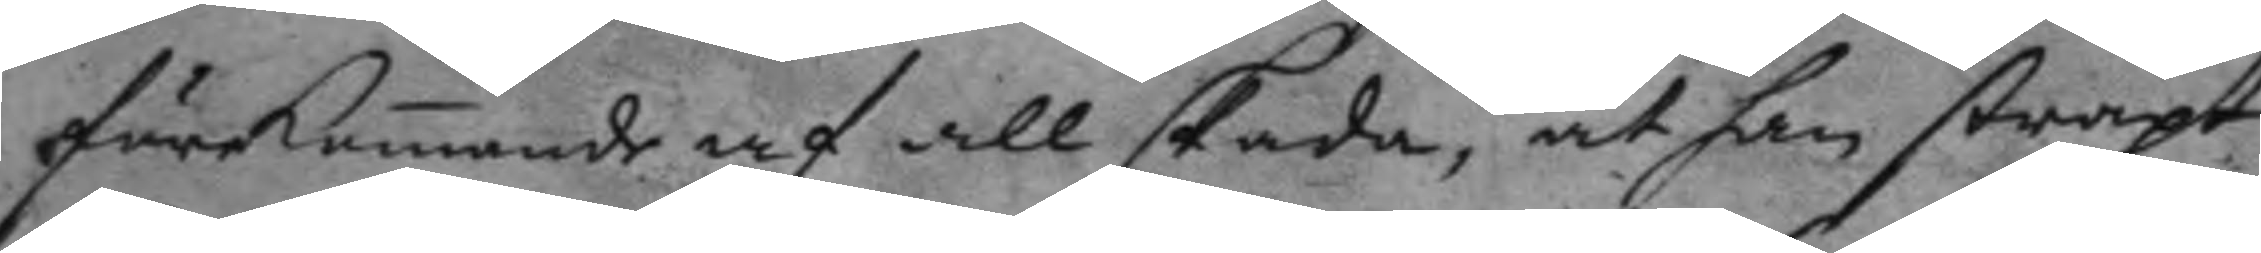förkunnande af att skada, at han straxt
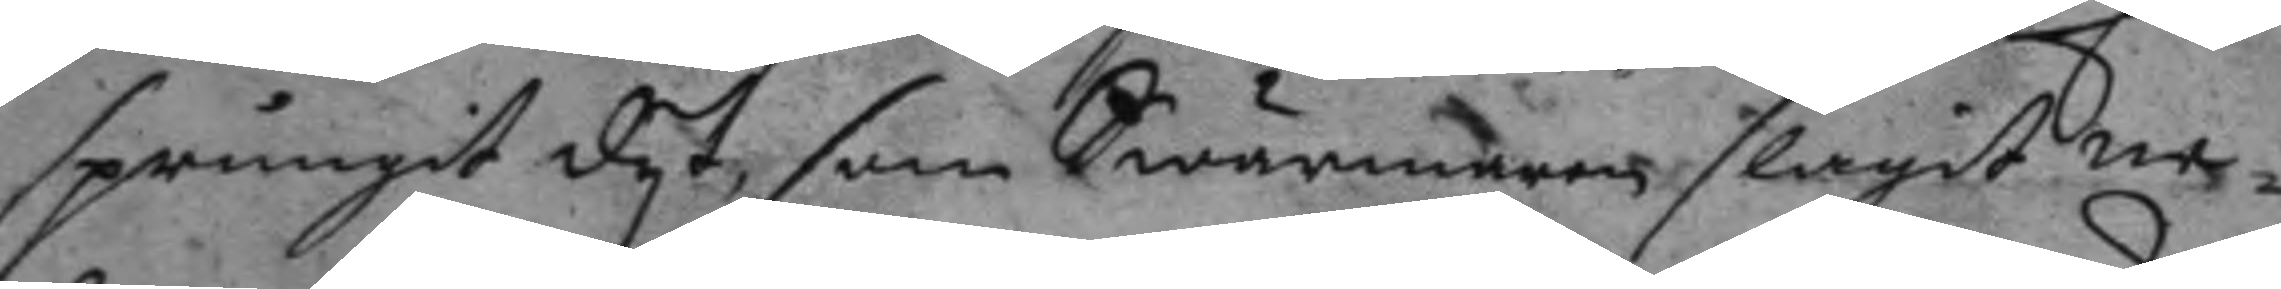sprungit dyt som Swärmaren slagit ne¬
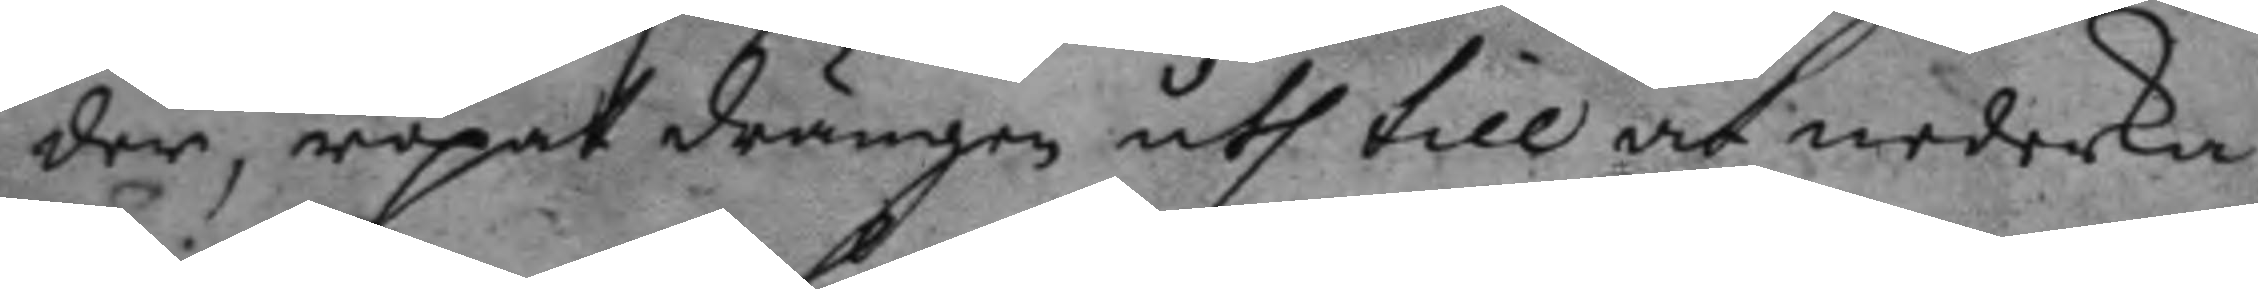der, ropat drängen uth till at nederka¬
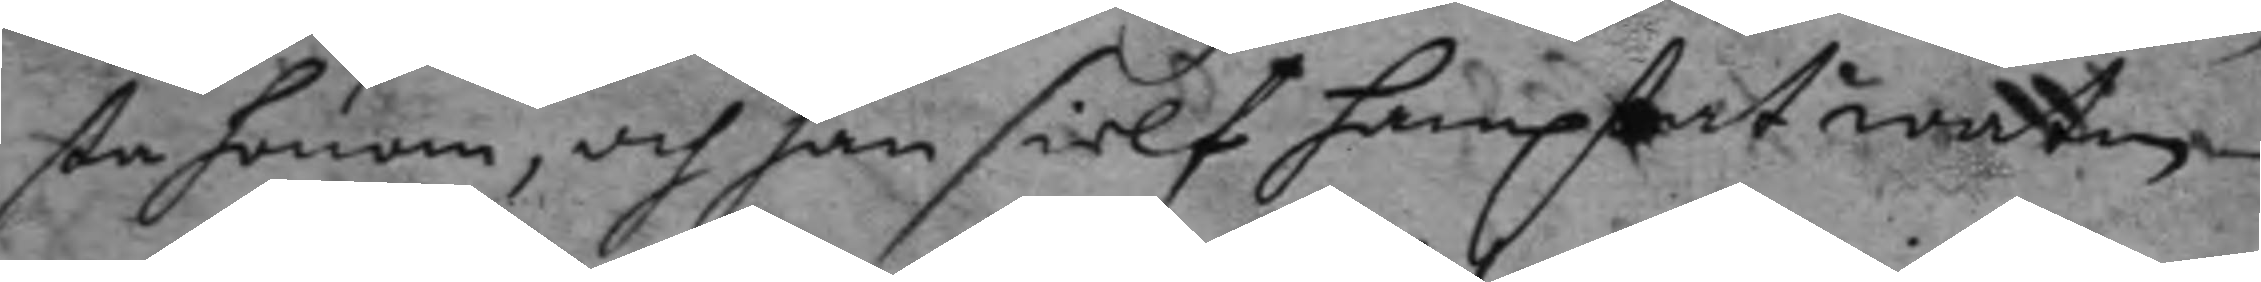sta honom, och han sielf hamptat watten
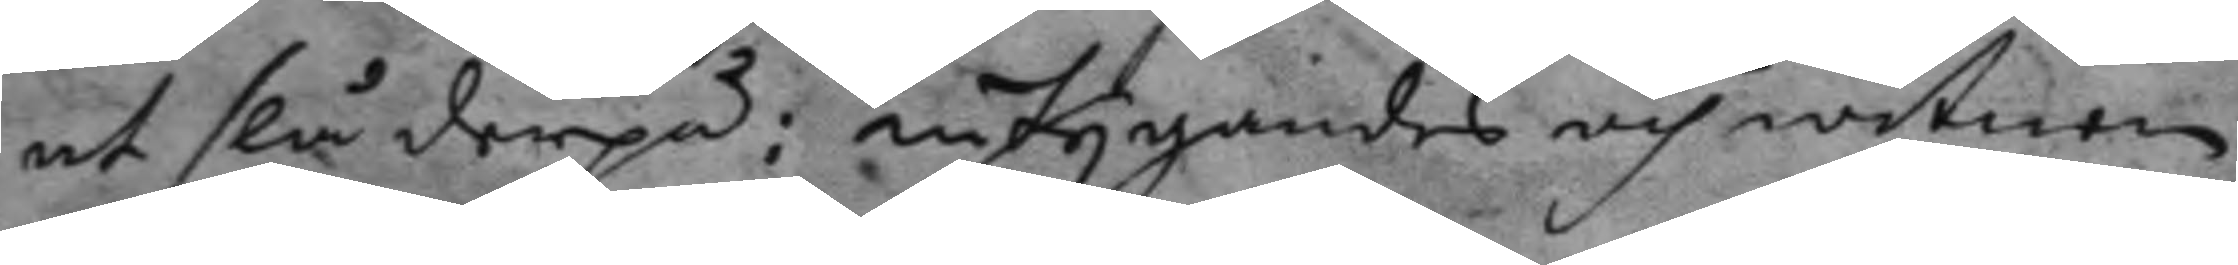at slå derpå: intygandes och witnen
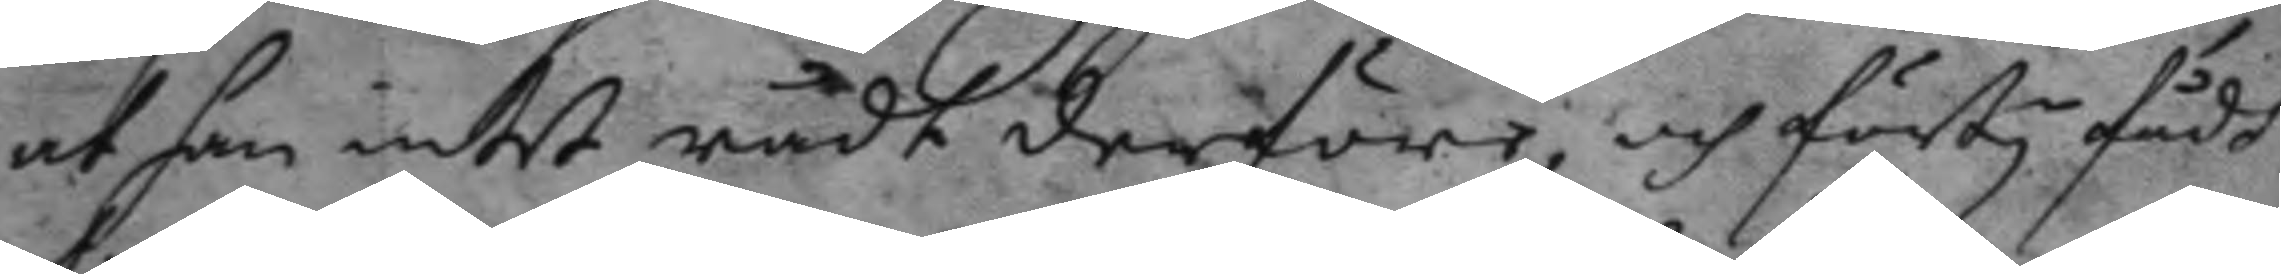at han intet rådt derföre, och förty fådt
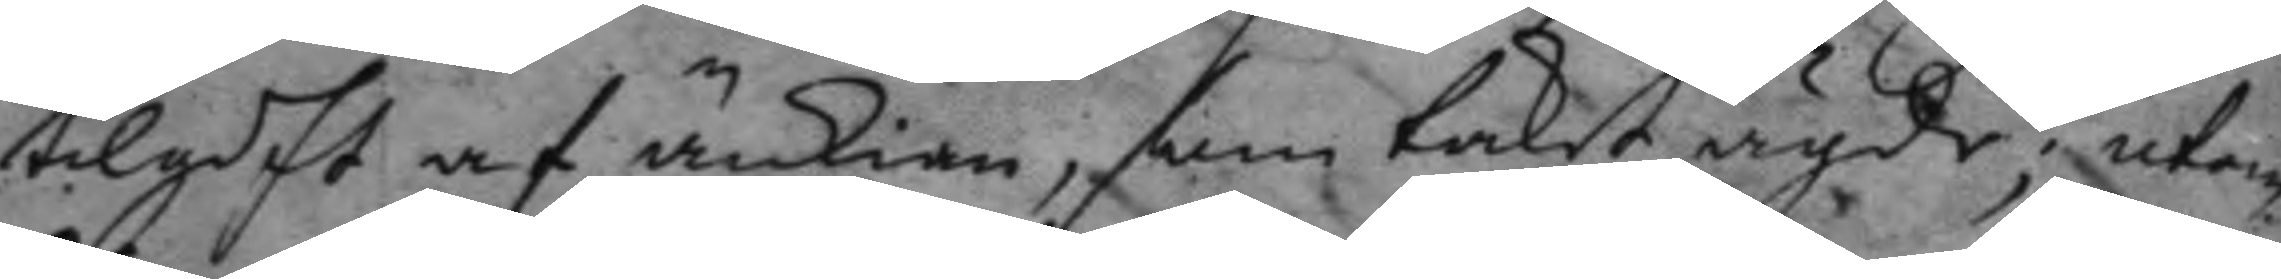tilgift af änkian, som taket ägde; utom
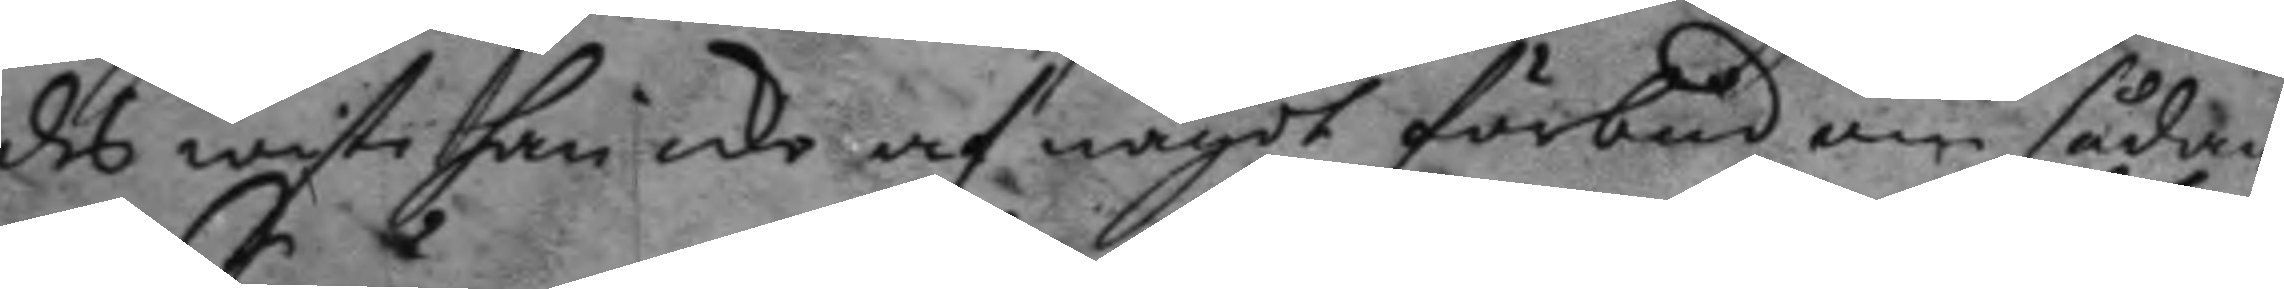des wiste han icke af något förbud om sådan¬
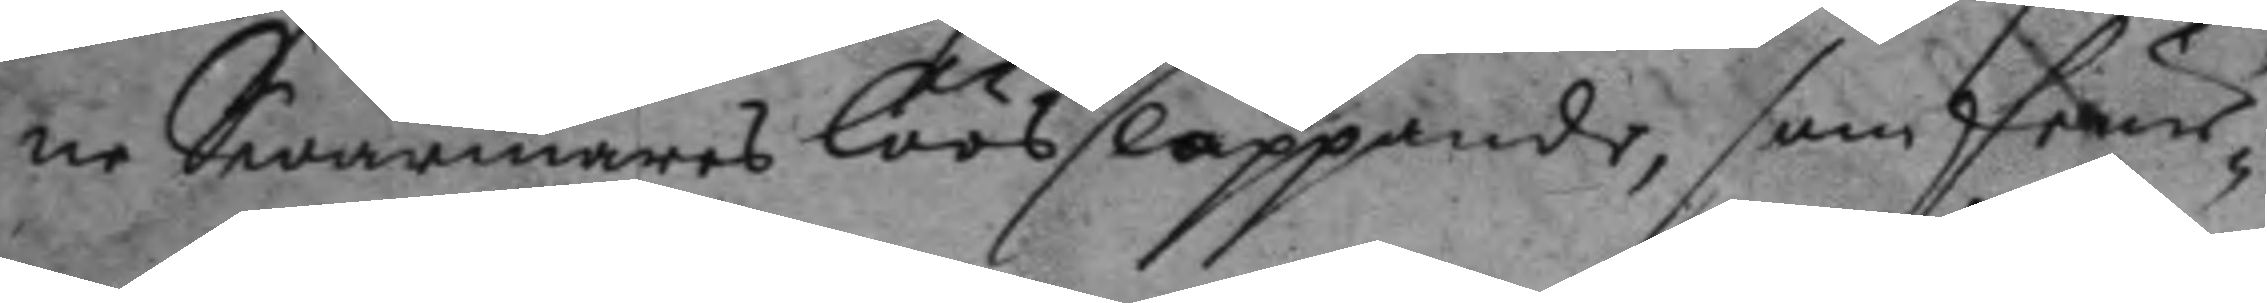ne Swärmares löössläppande, som feur¬
